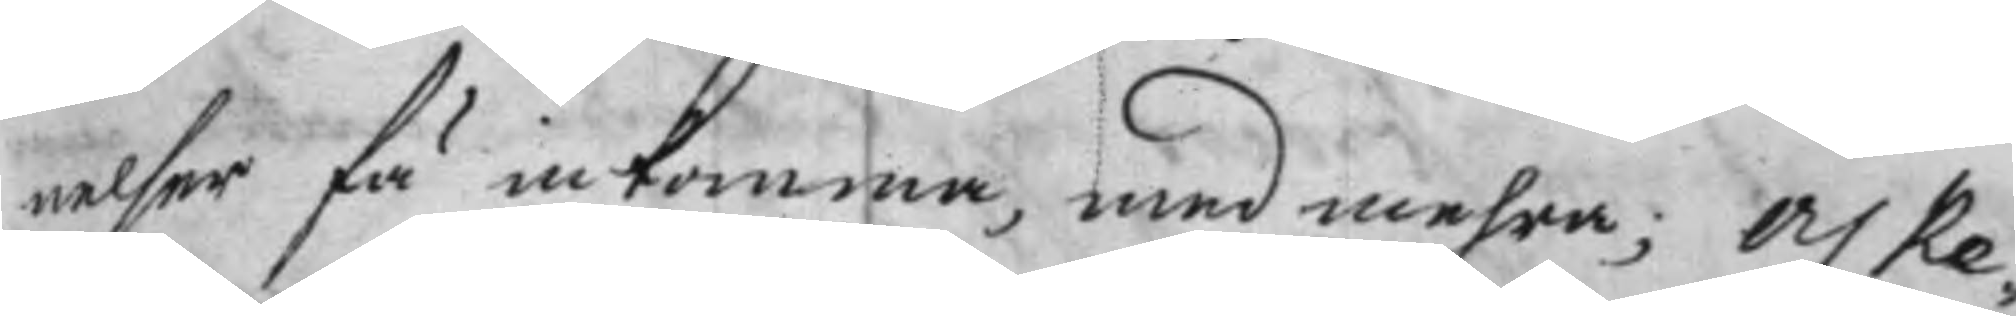nelser få inkomma, med mehra; Och Re¬
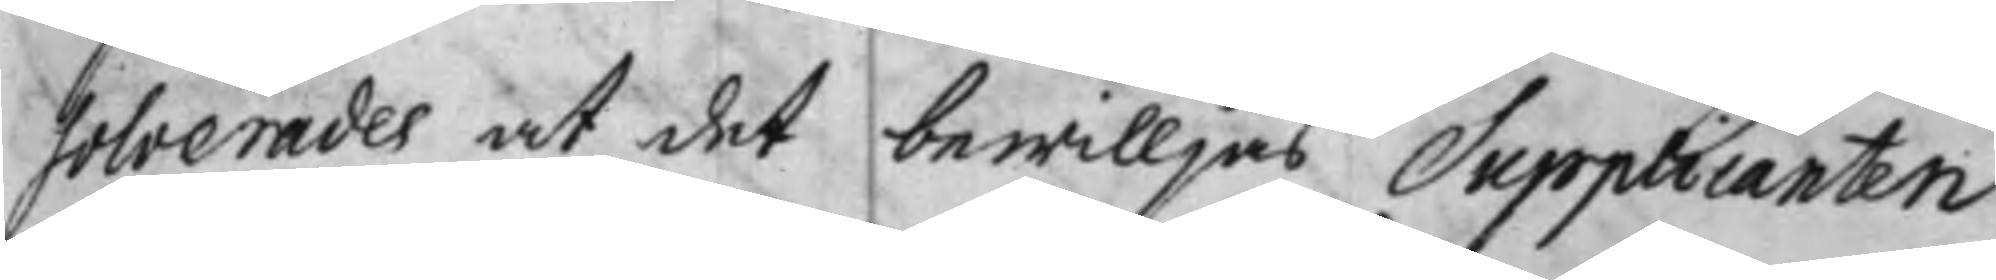solverades at det bewilljas Supplicanten
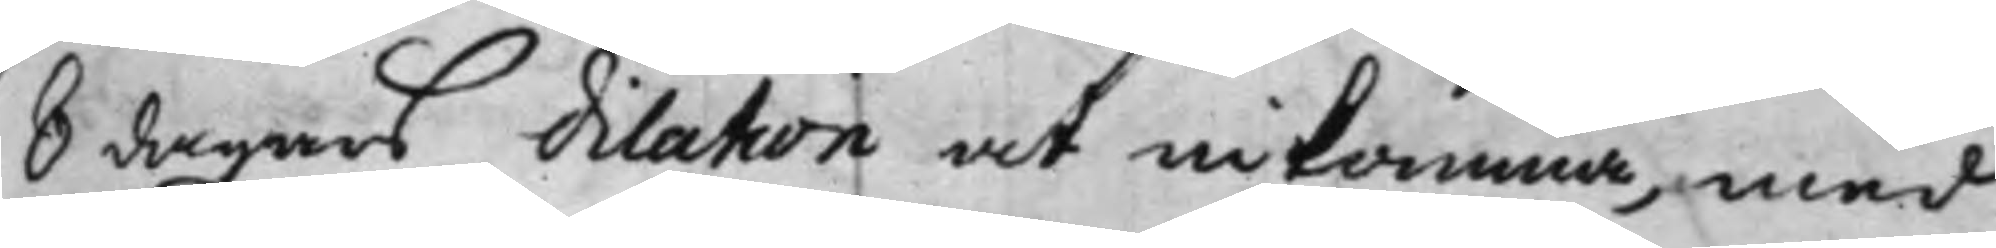8 dagars dilation at inkomma, med
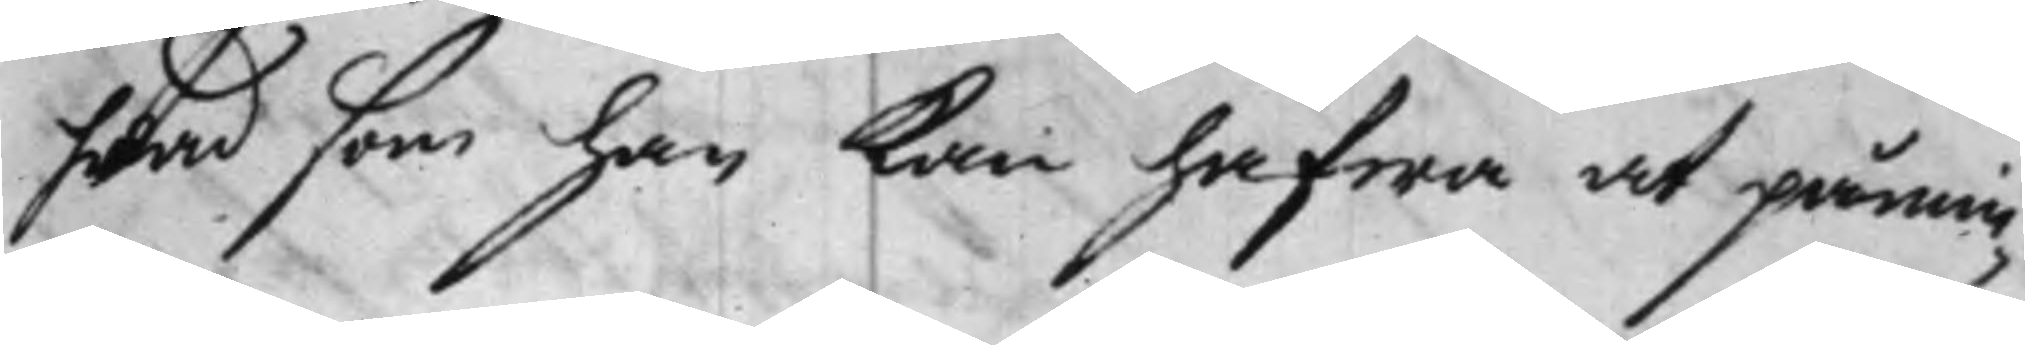hwad som han kan hafwa at påmin¬
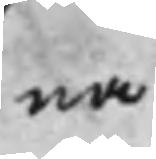na.
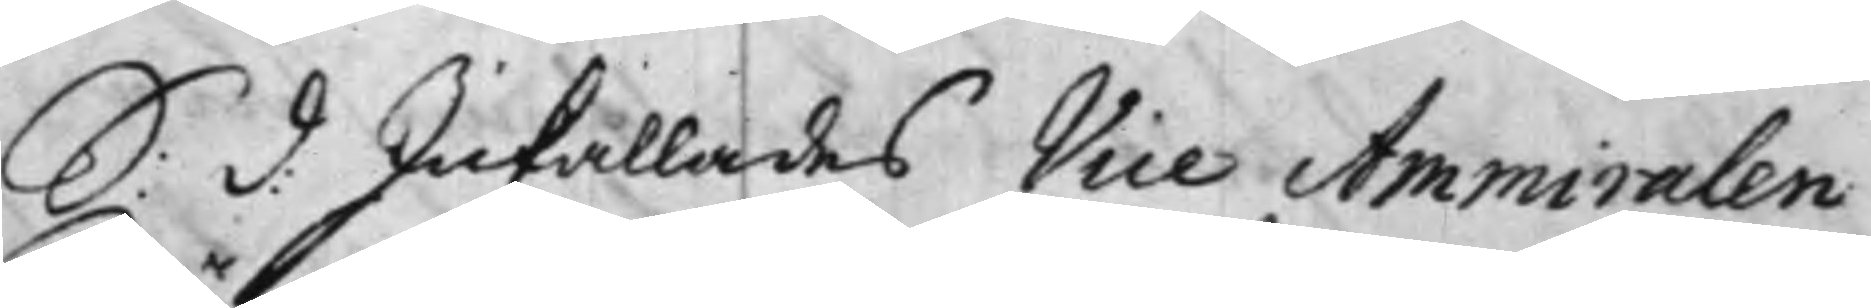S: d: Inkallades Vice Ammiralen
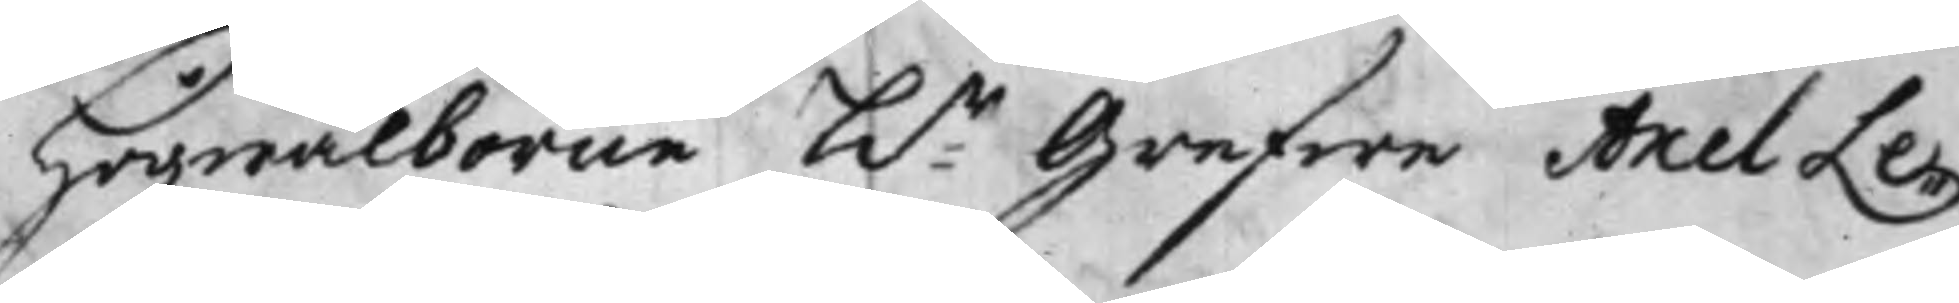Högwälborne hr Grefwe Axel Le¬
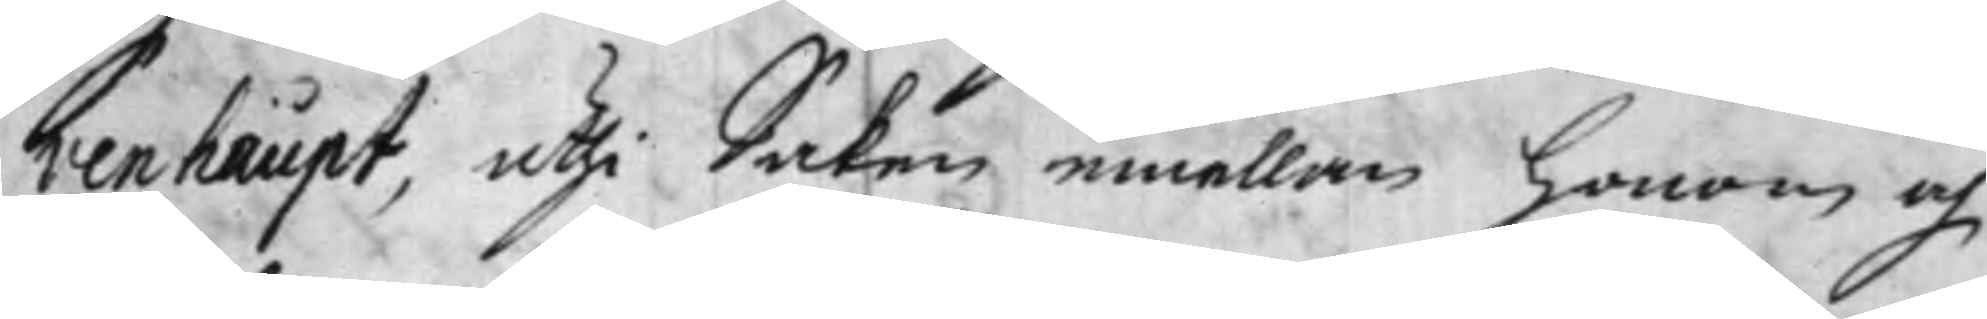venhaupt, uthi Saken emellan honom och
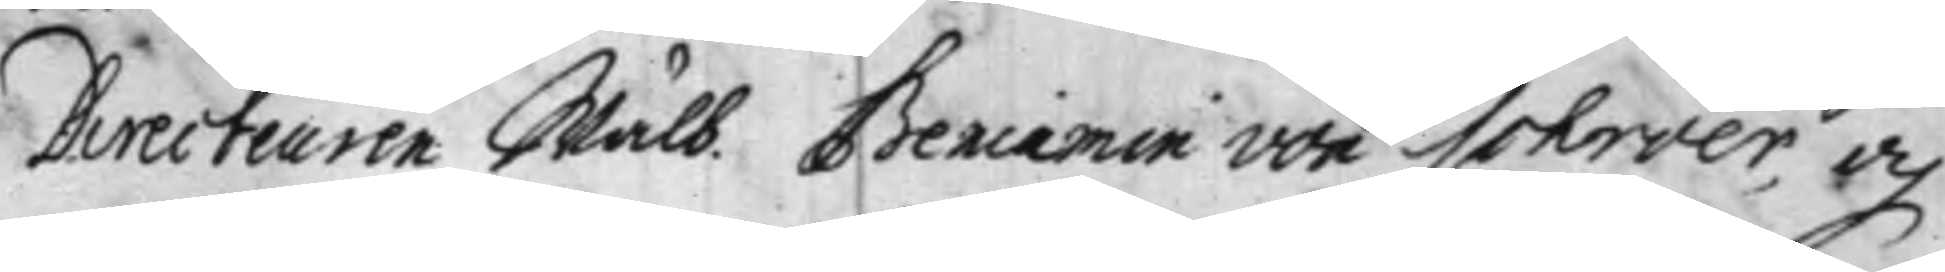Directeuren Wälb. Beniamin von Schröer, och
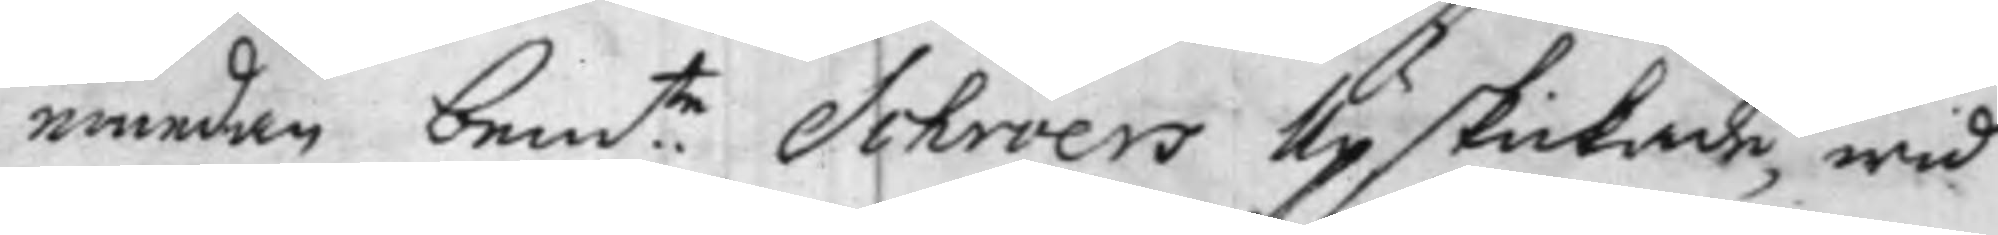emedan bemte Schröers Upskickade, wid
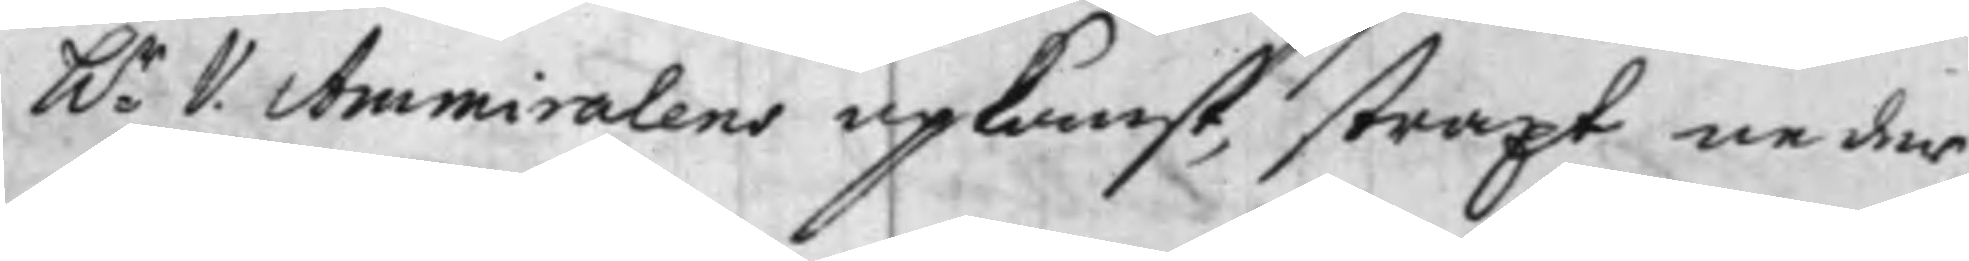hr V. Ammiralens upkåmst, straxt neder¬
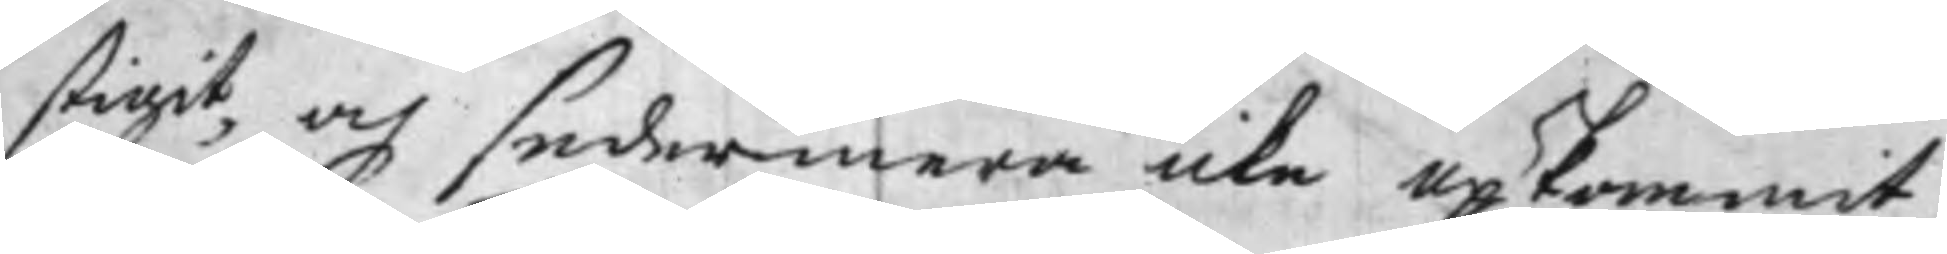stigit, och sedermera icke upkommit,
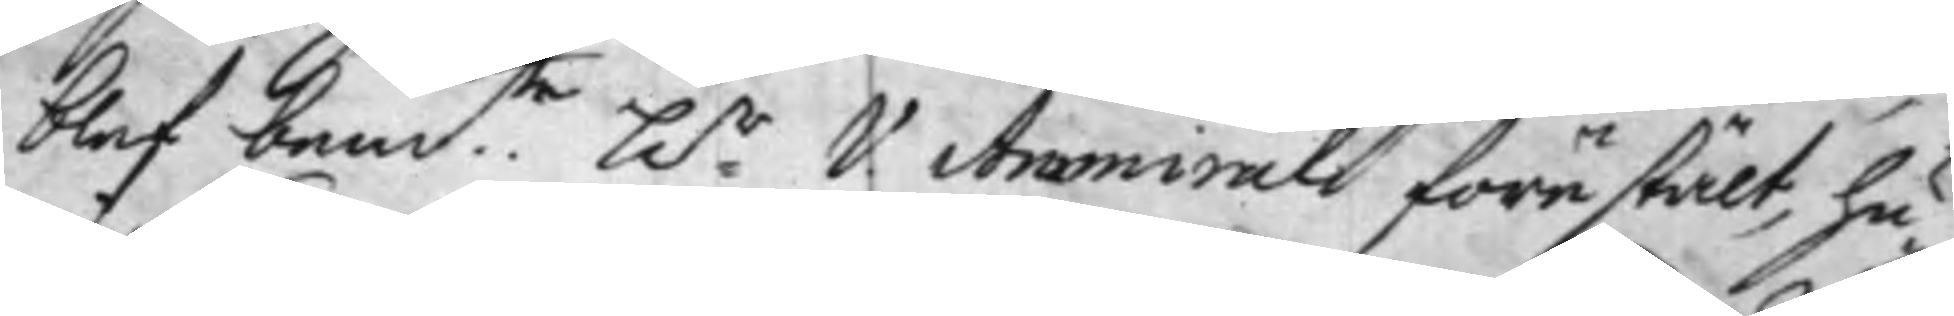blef bemte hr V. Ammiral förestält, hu¬
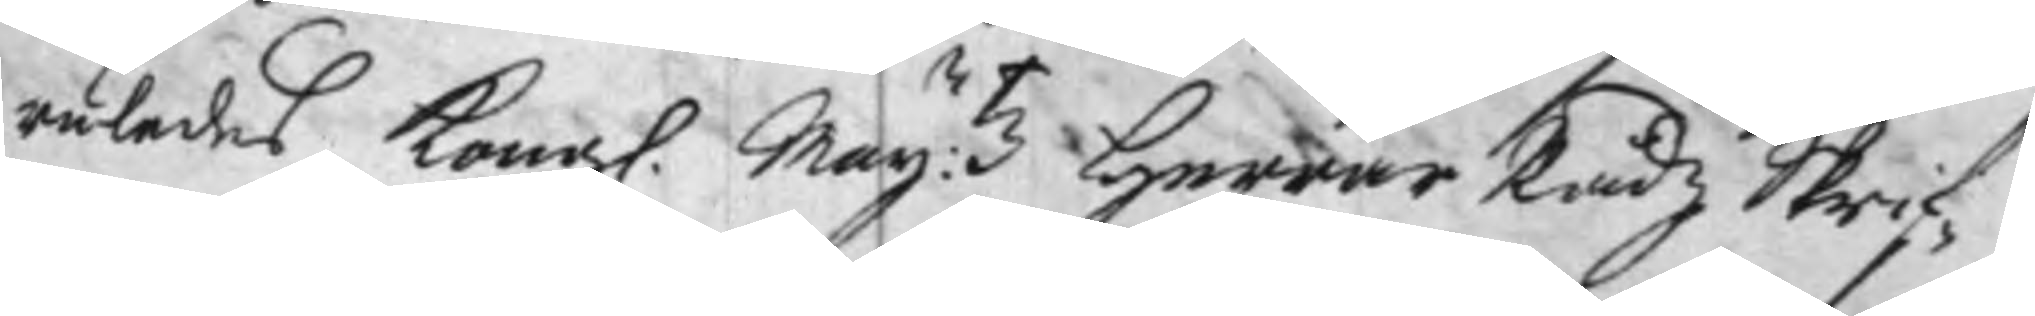ruledes Kongl. Maij:tz Herrar Rådz Skrif¬
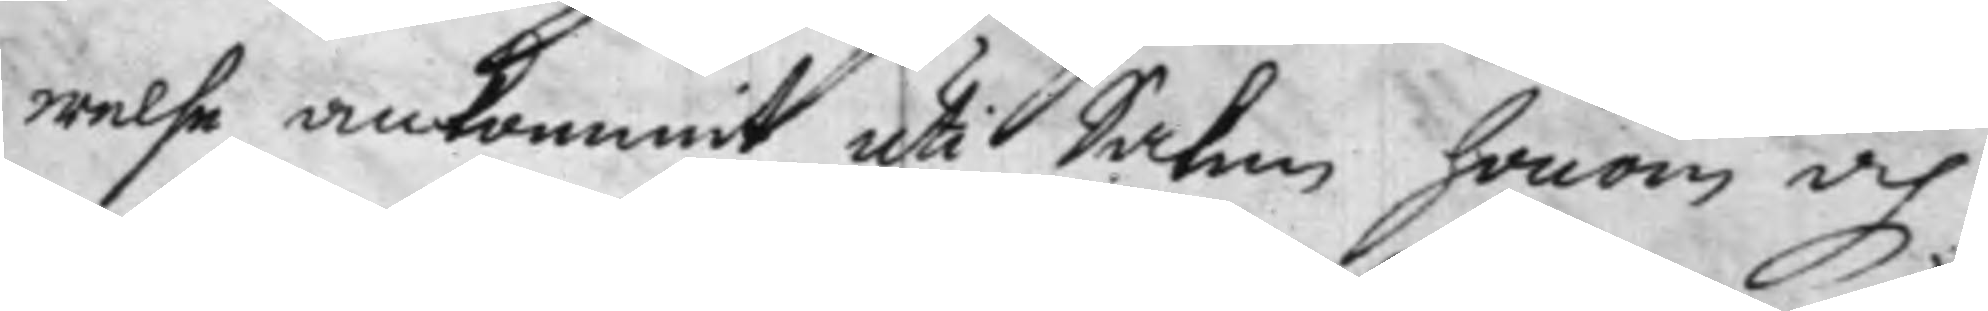welse ankommit uti Saken honom och
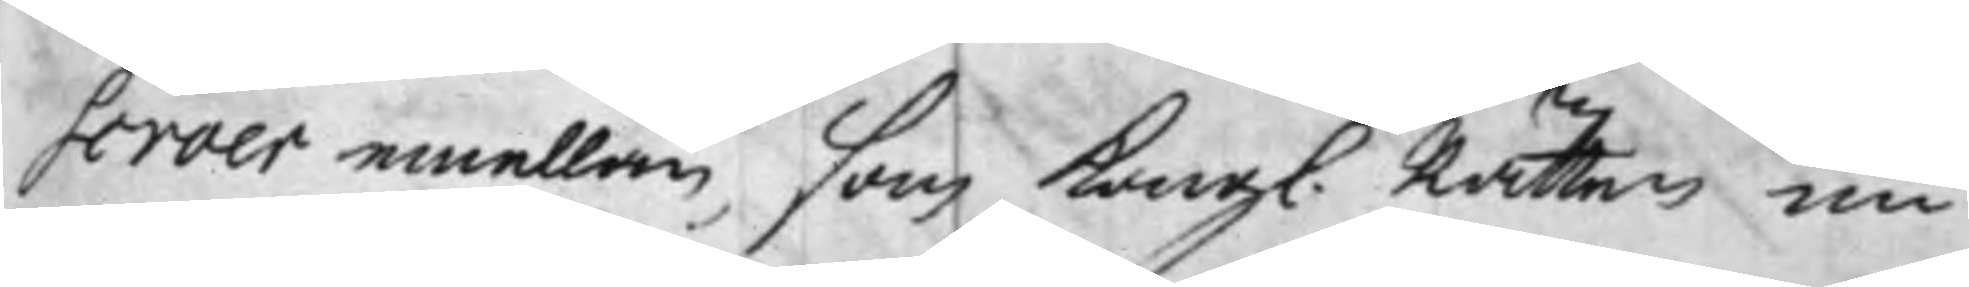Scröer emellan, som Kongl. Rätten nu
